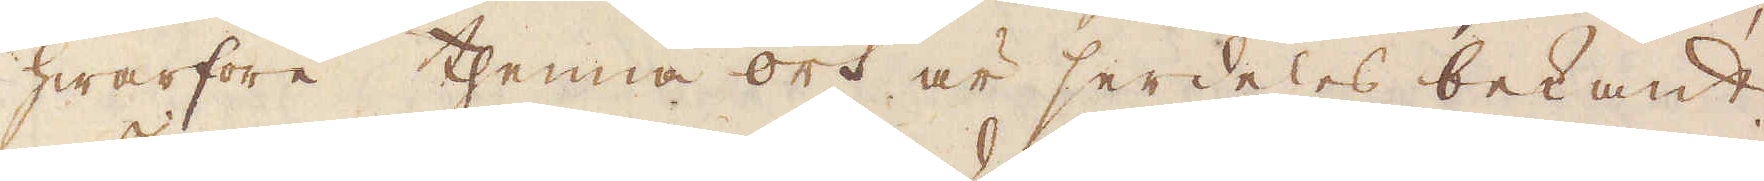hwarföre thenna ort är serdeles bekant.
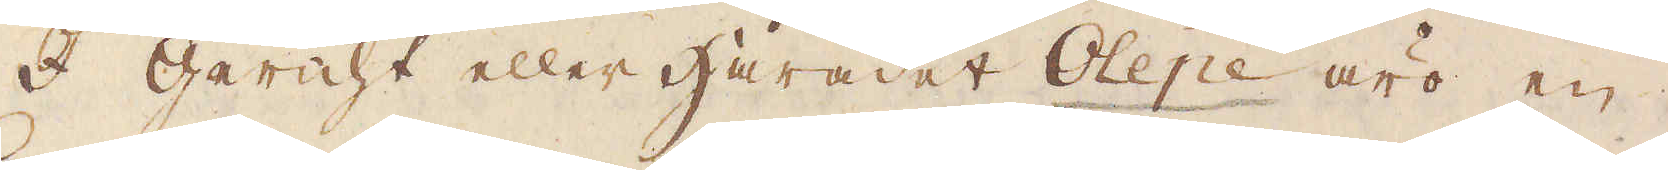I Gericht eller Häradet Olepe äro en
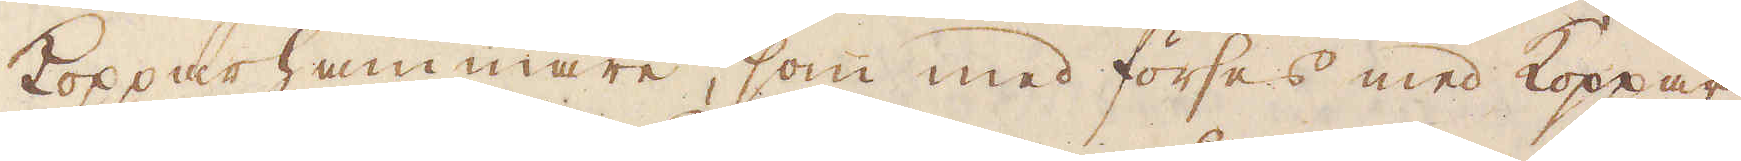Kopparhammare, som med förses med Koppar
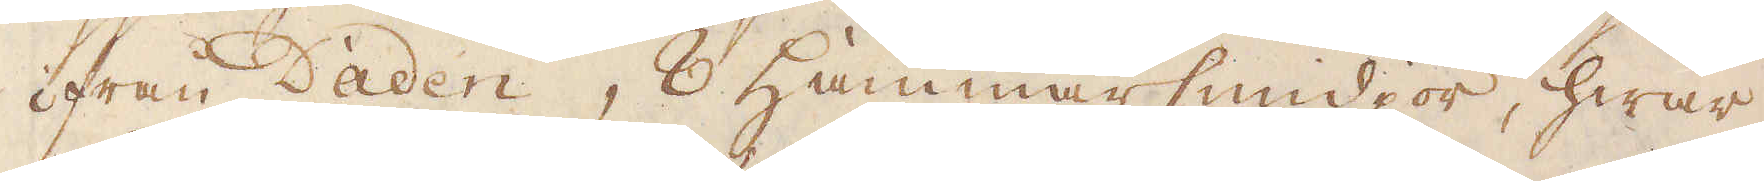ifrån Daden, 8 Hammarsmidjor, hwar
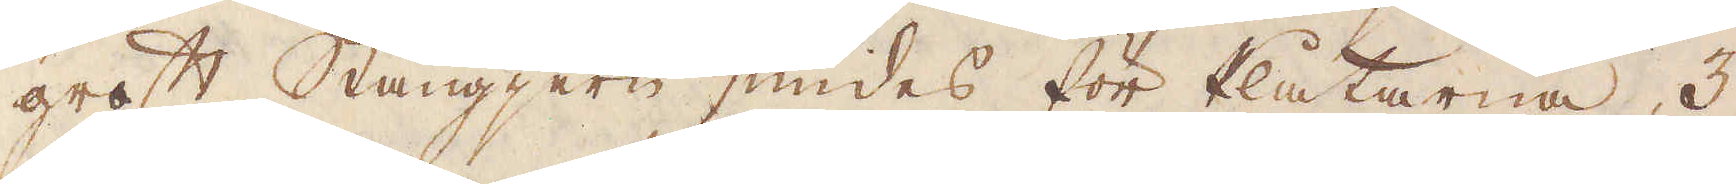groft Stångjern smides för Plåtarne, 3
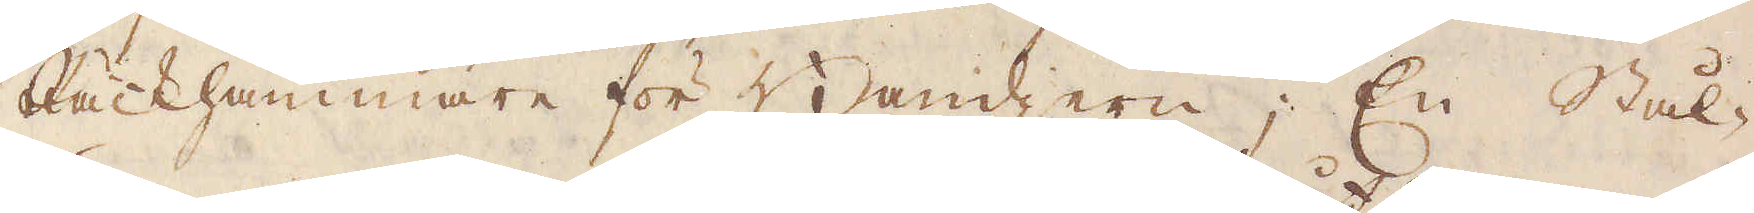Räckhammare för Bandjern; En Stål-
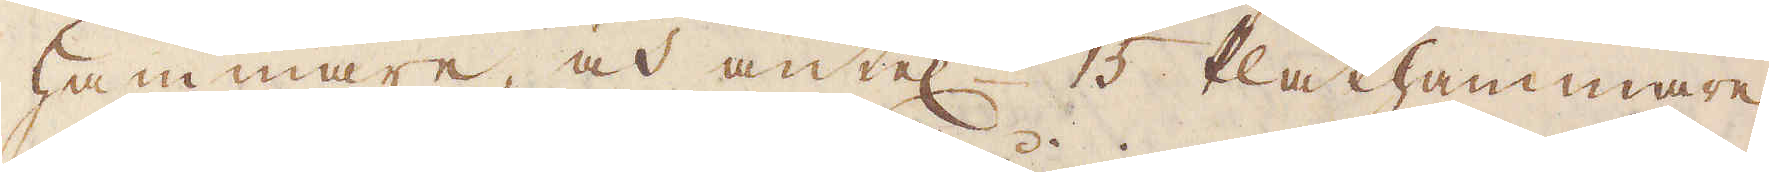hammare, och äntel:n 15 Plåthammare.
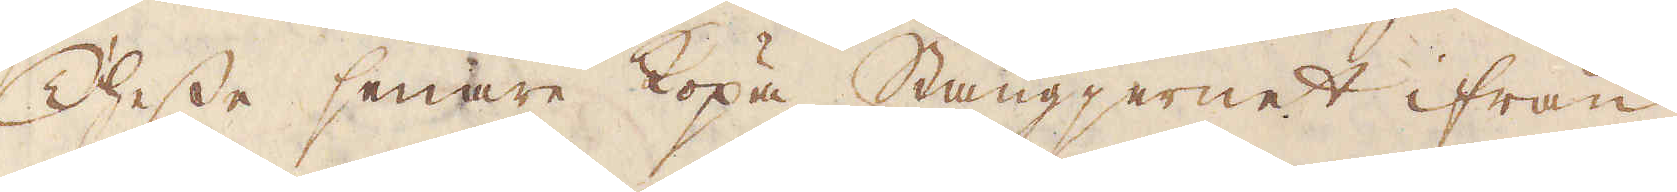Thesse senare köpa Stångjernet ifrån
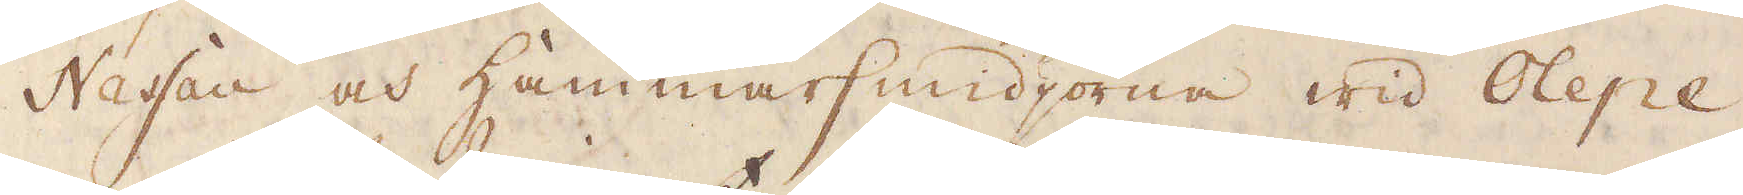Nassau och hammarsmidjorna wid Olepe,
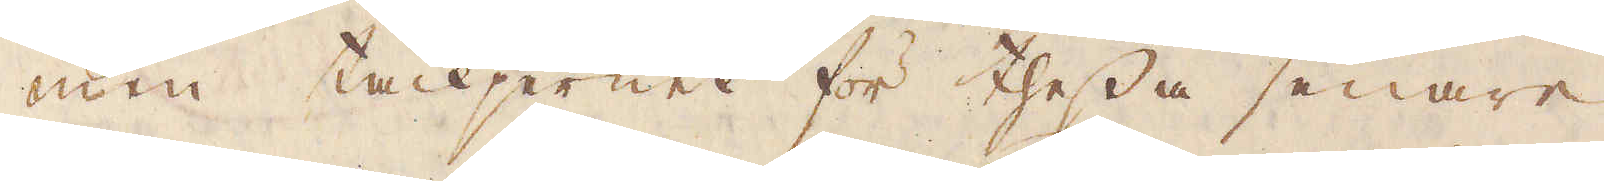men tackjernet för thessa senare,
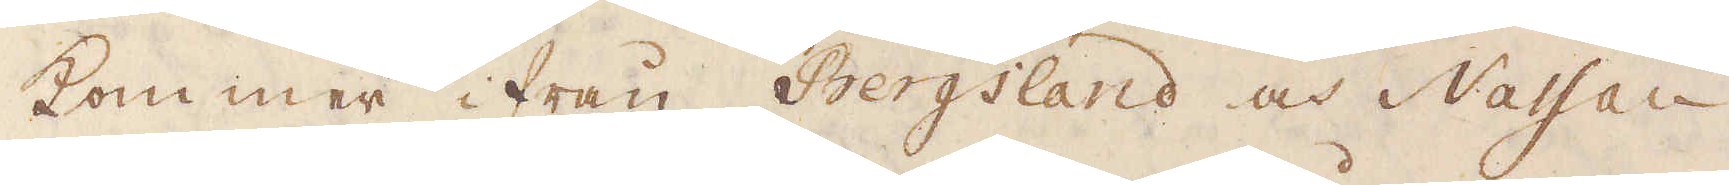kommer ifrån Bergsland och Nassau
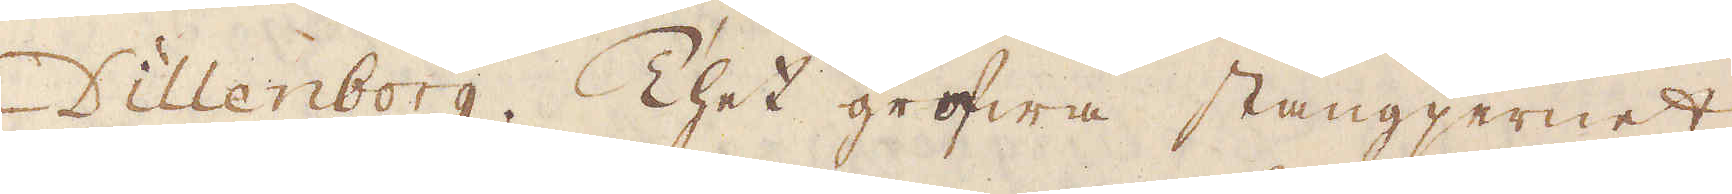Dillenborg. Thet grofwa stångjernet
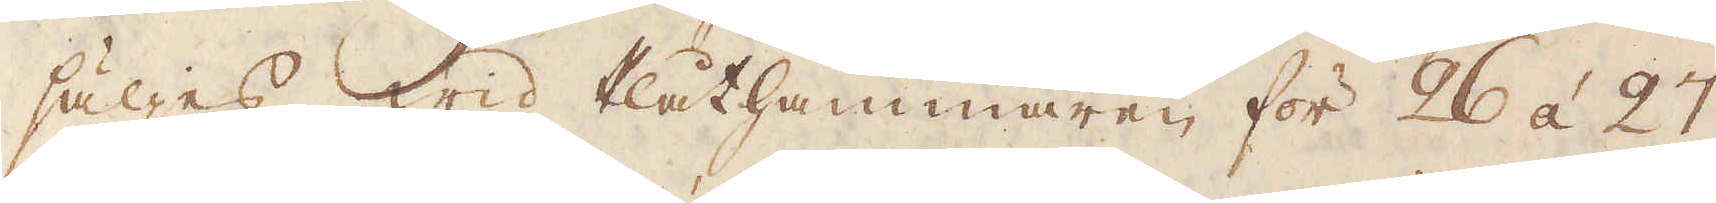säljes wid Plåthammaren för 26 á 27
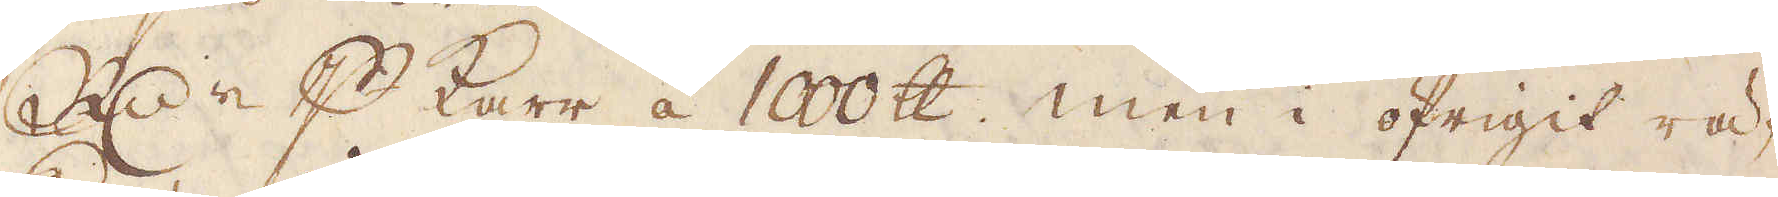R:dre p karr à 1000 skålpund, men i öfrigit rä-
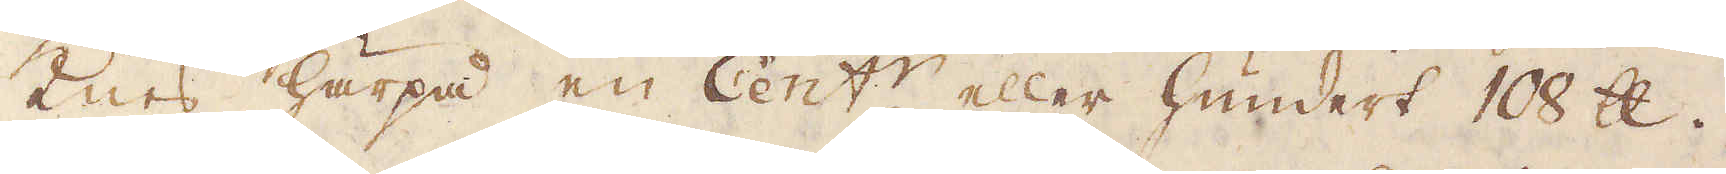knes härpå en Cent:r eller hundert 108 skålpund.
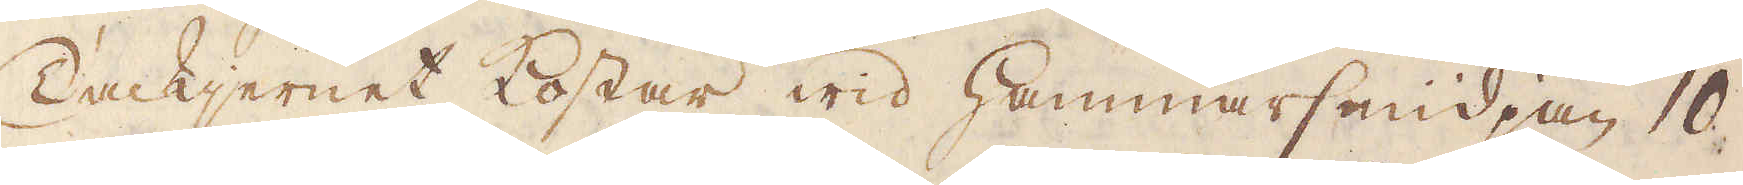Tackjernet kostar wid Hammarsmidjan 10
